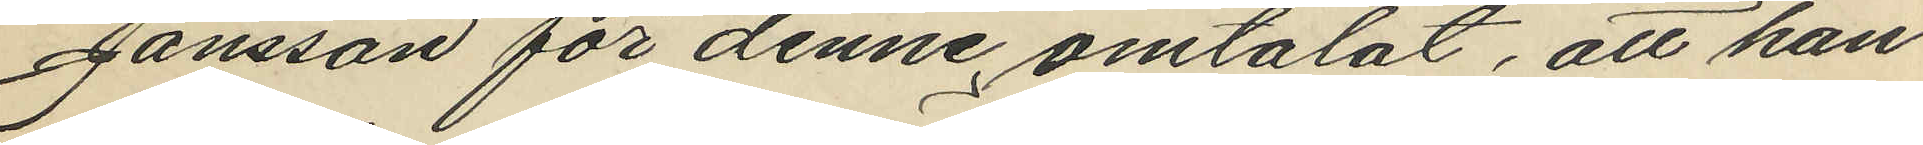Jansson för denne omtalat, att han
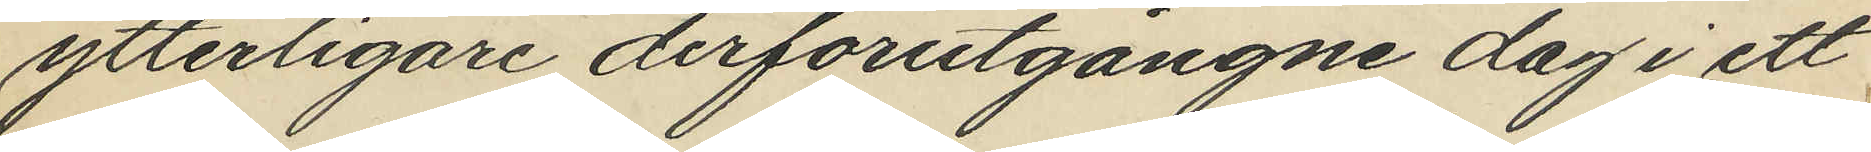ytterligare derförutgångne dag i ett
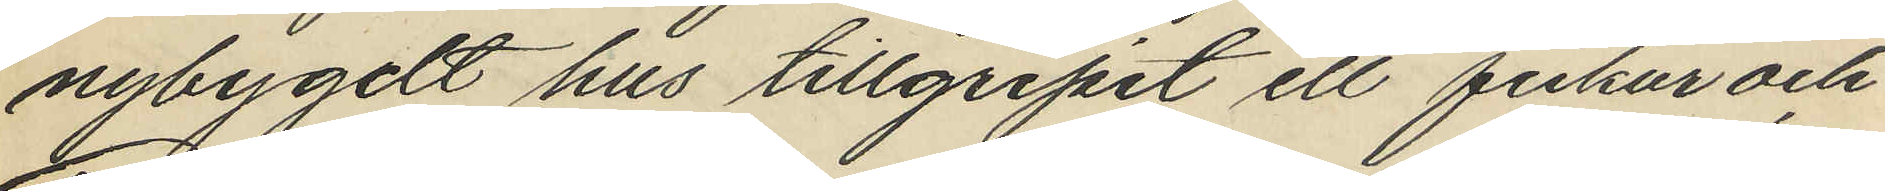nybygdt hus tillgripit ett fickur och
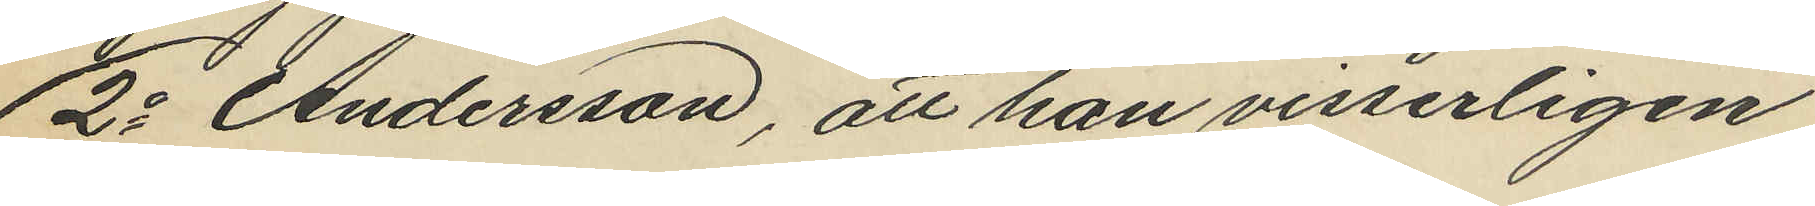2o Andersson, att han visserligen
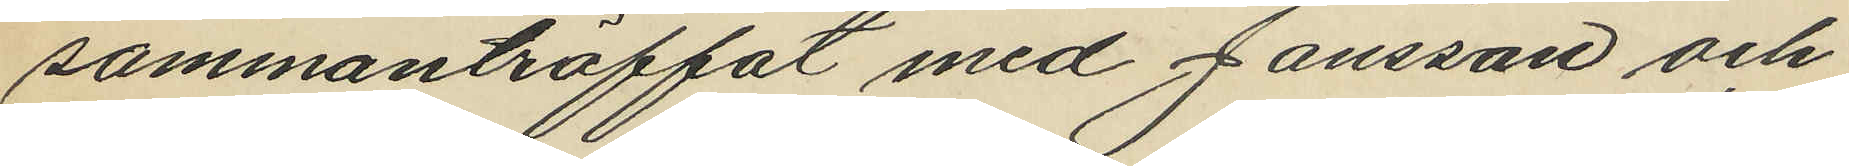sammanträffat med Jansson och
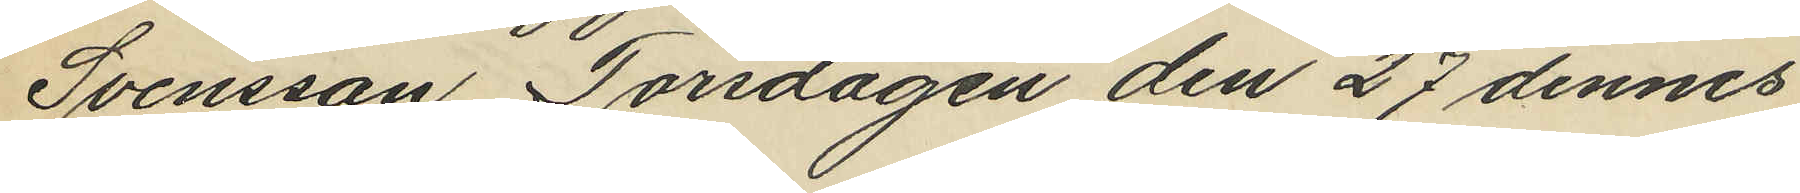Svensson Torsdagen den 27 dennes
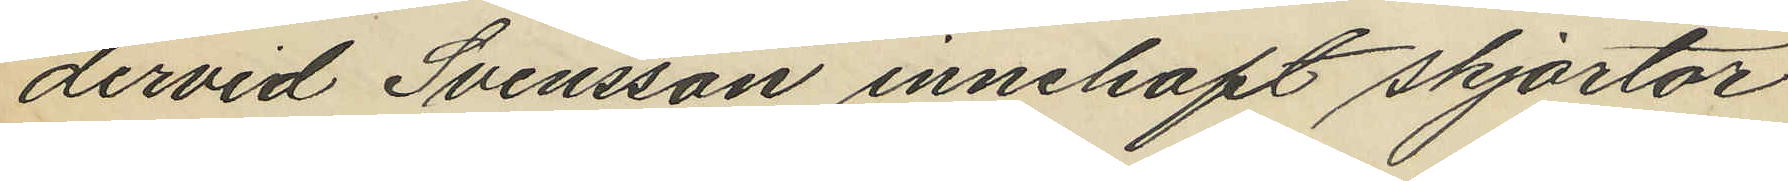dervid Svensson innehaft skjortor
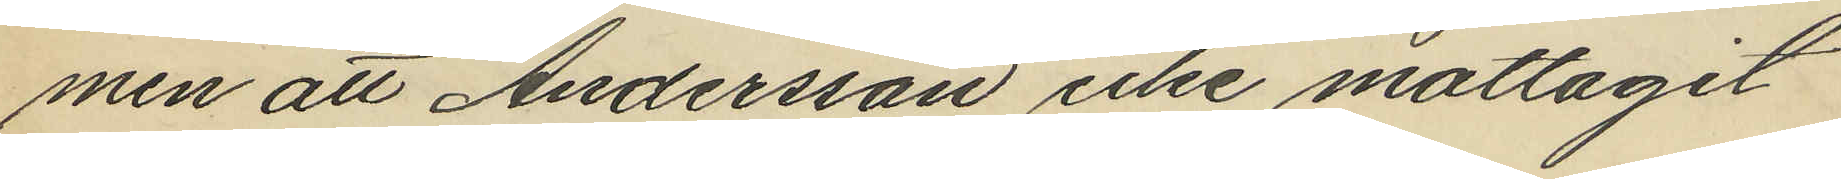men att Andersson icke mottagit
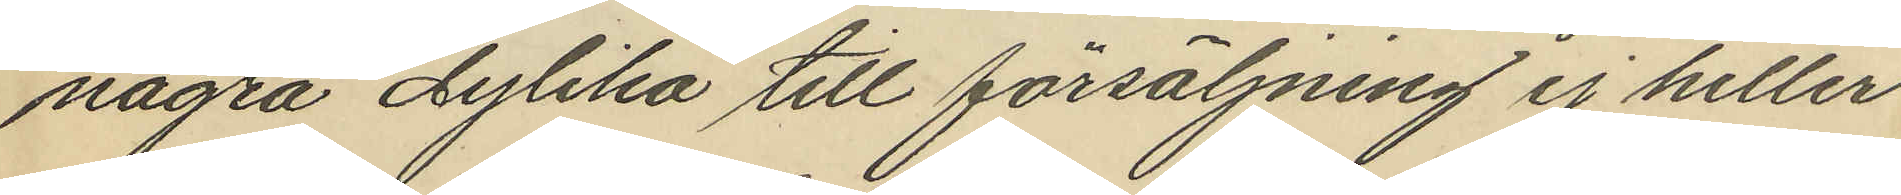några dylika till försäljning ej heller
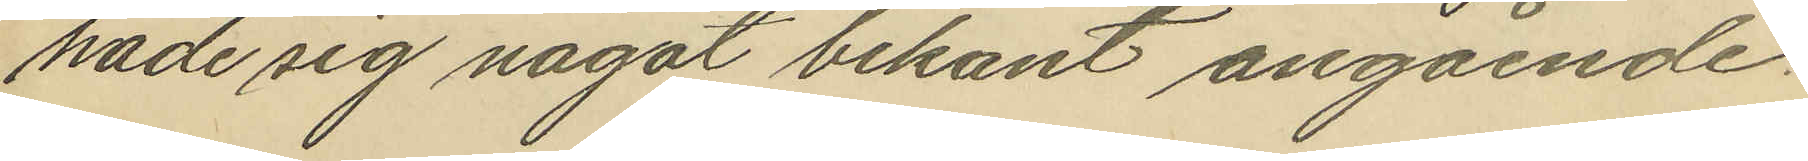hade sig något bekant angående.
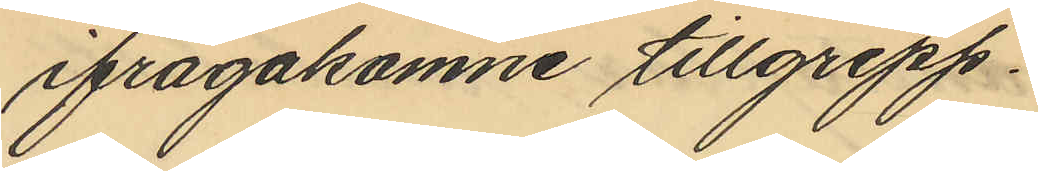ifragakomne tillgrepp.
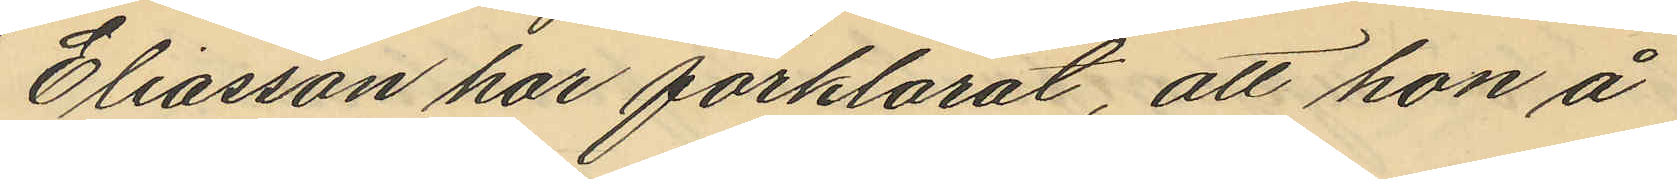Eliasson har förklarat, att hon å
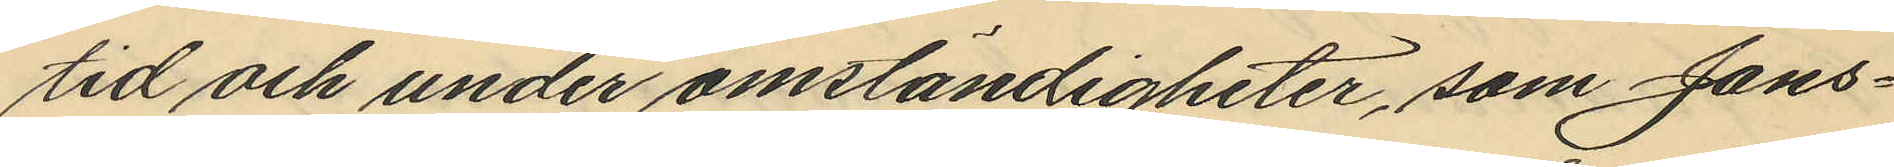tid och under omständigheter, som Jans¬
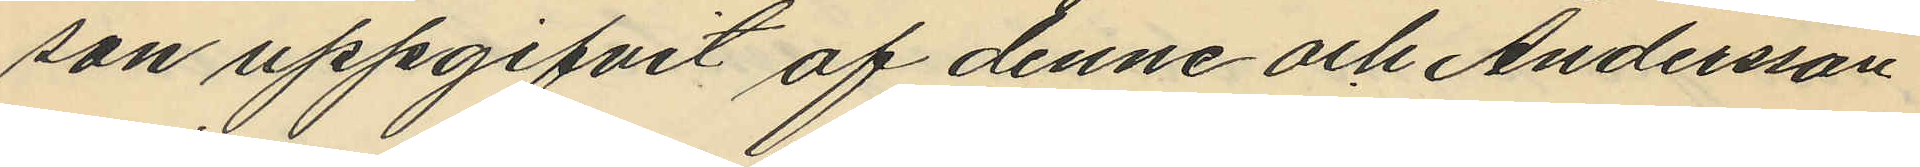son uppgifvit af denne och Andersson
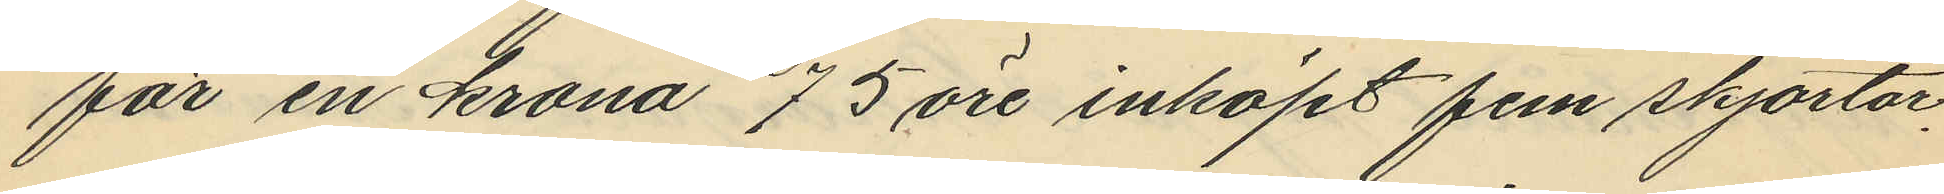för en krona 75 öre inköpt fem skjortor.
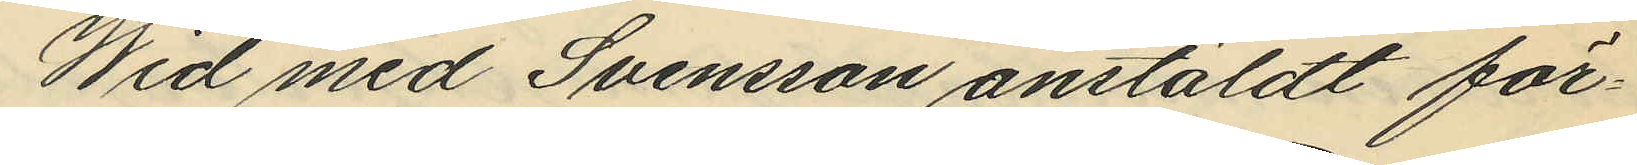Wid med Svensson anstäldt för¬
